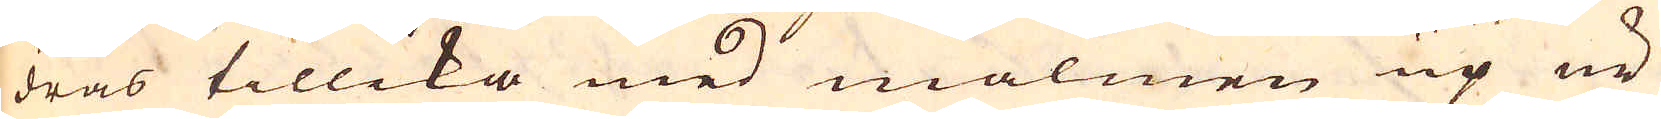dras tillika med malmen up ur
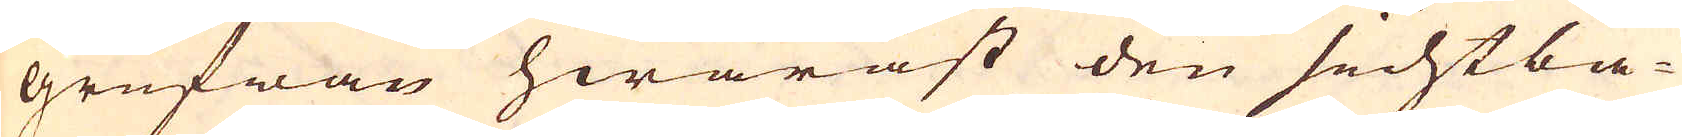grufwan hwaräst den sichtba-
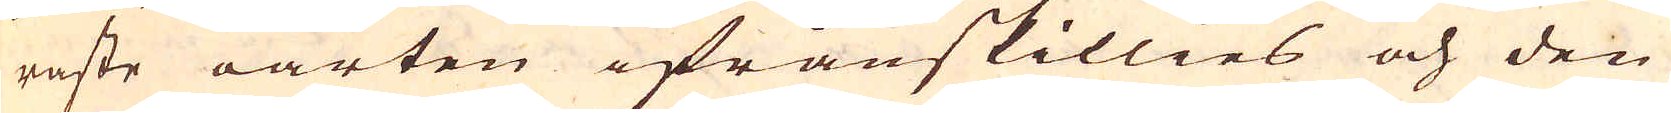raste oarten ifrånskillies och den
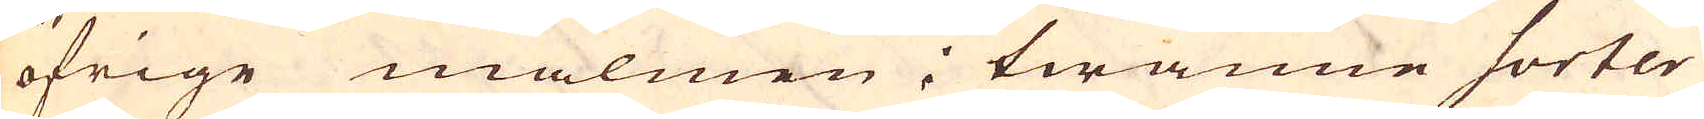öfrige malmen i twänne sorter
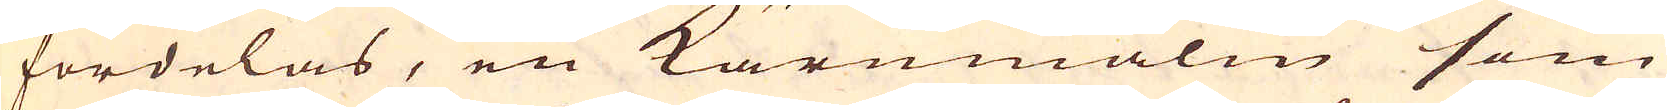fördelas, en Kärnmalm som
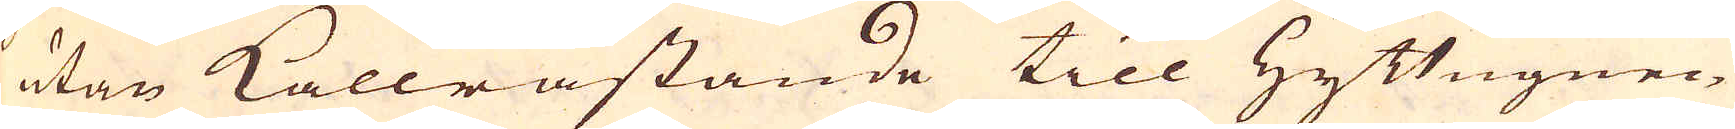utan Kallråstande till Hyttugnen
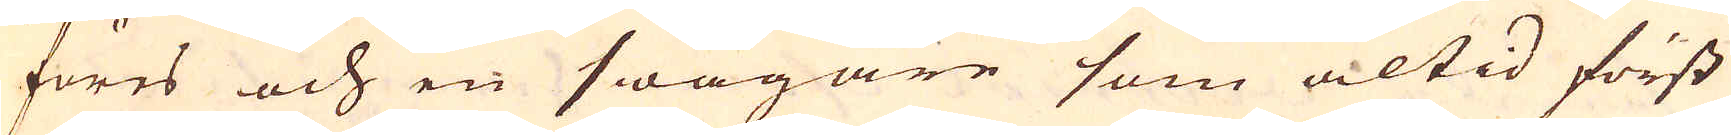föres och en swagare som altid först
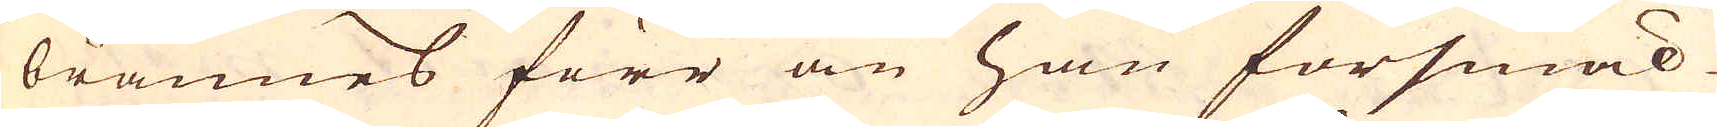brännes förr än han försmäl-
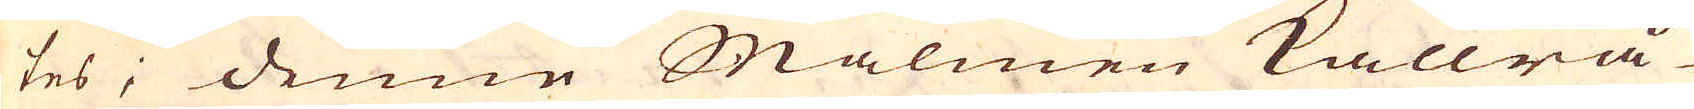tes; denne Malmen kallrå-
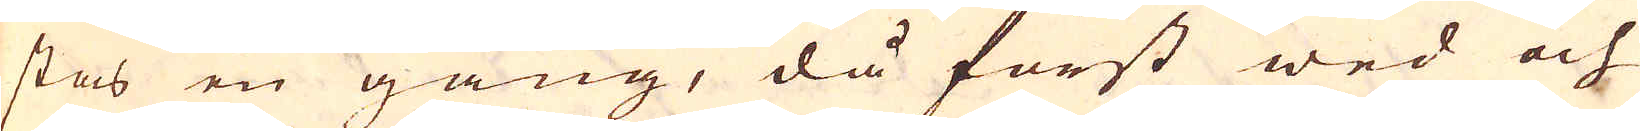stas en gång, då först wed och
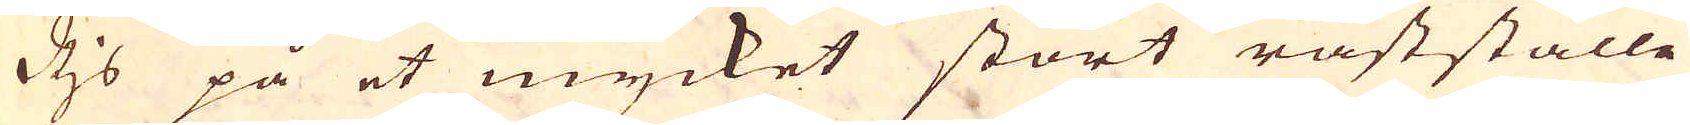Rjs på et mycket stort råstställe
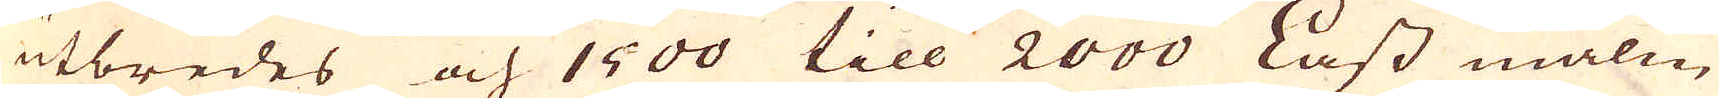utbredes och 1500 till 2000 Lass malm
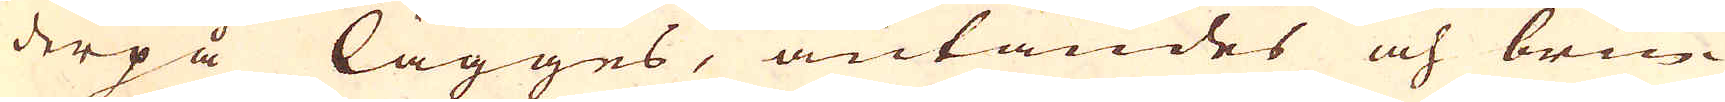derpå lägges, antändes och brin-
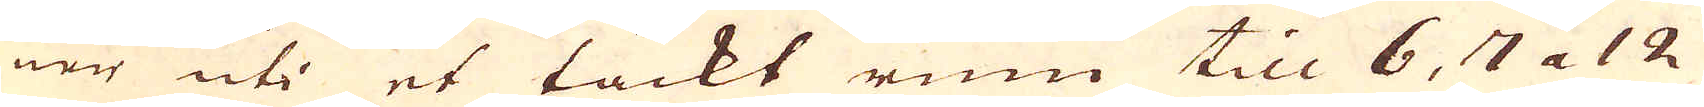ner uti et täckt rum till 6, 7 a 12
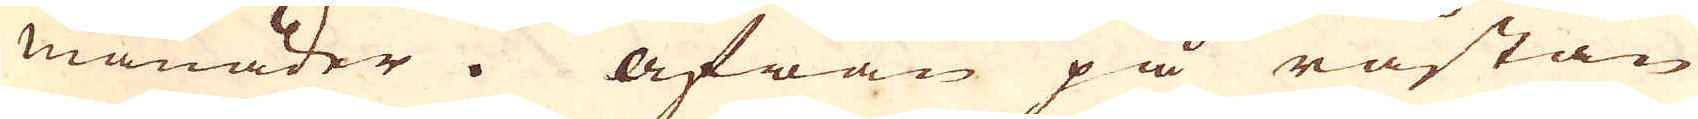månader. Åfwan på råstan
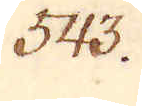543.
